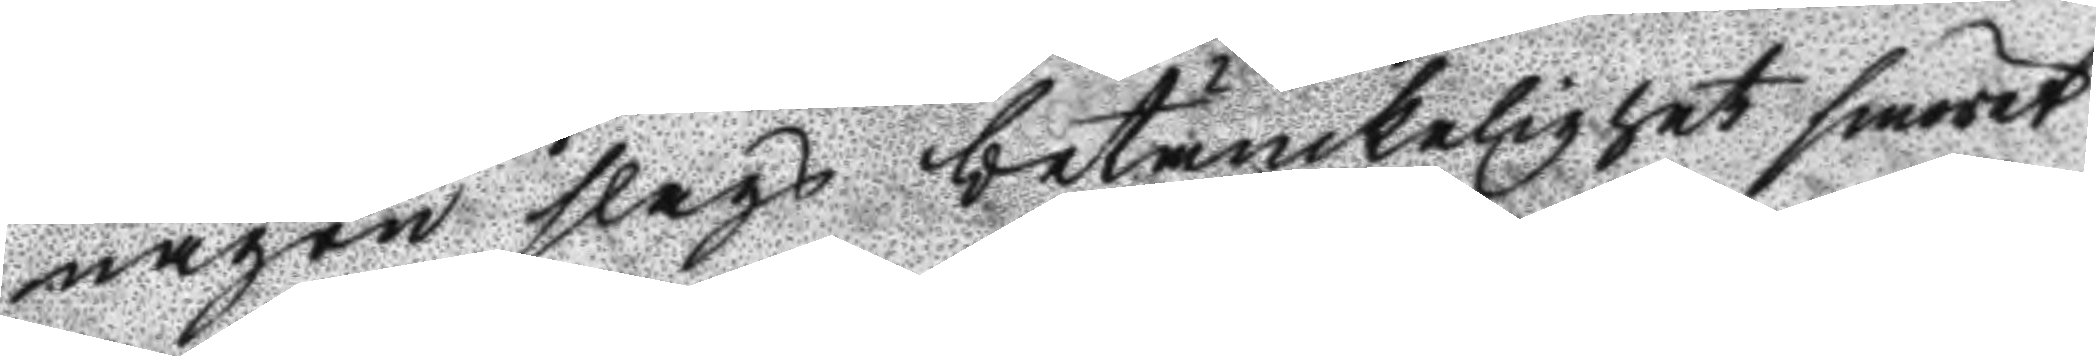någon slags betänckelighet smöret
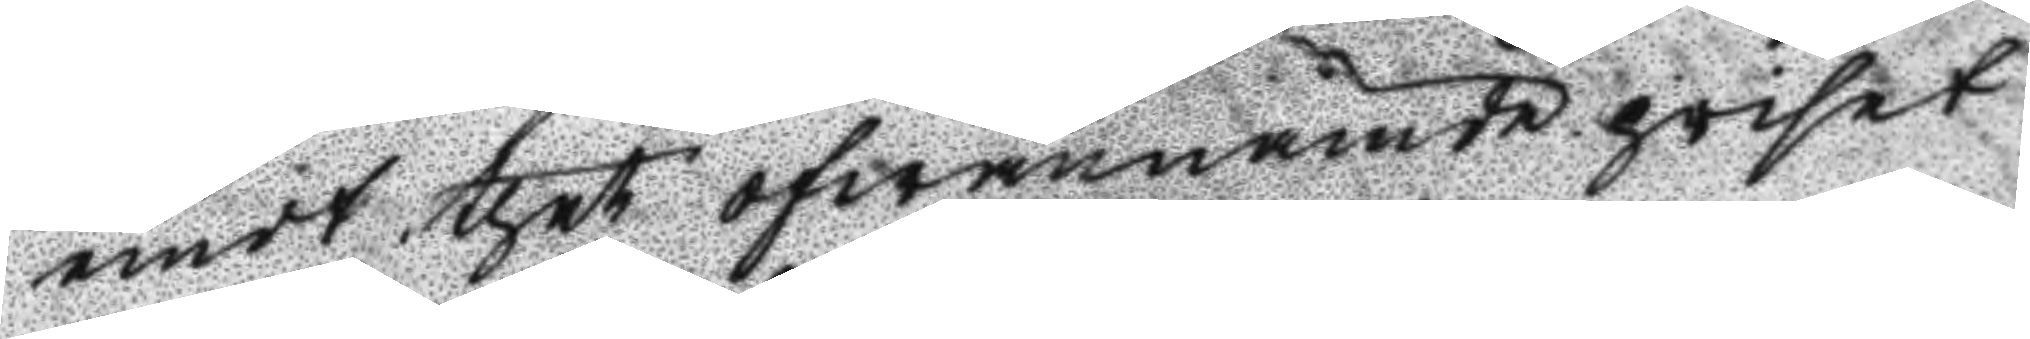emodt thet ofwannämde priset
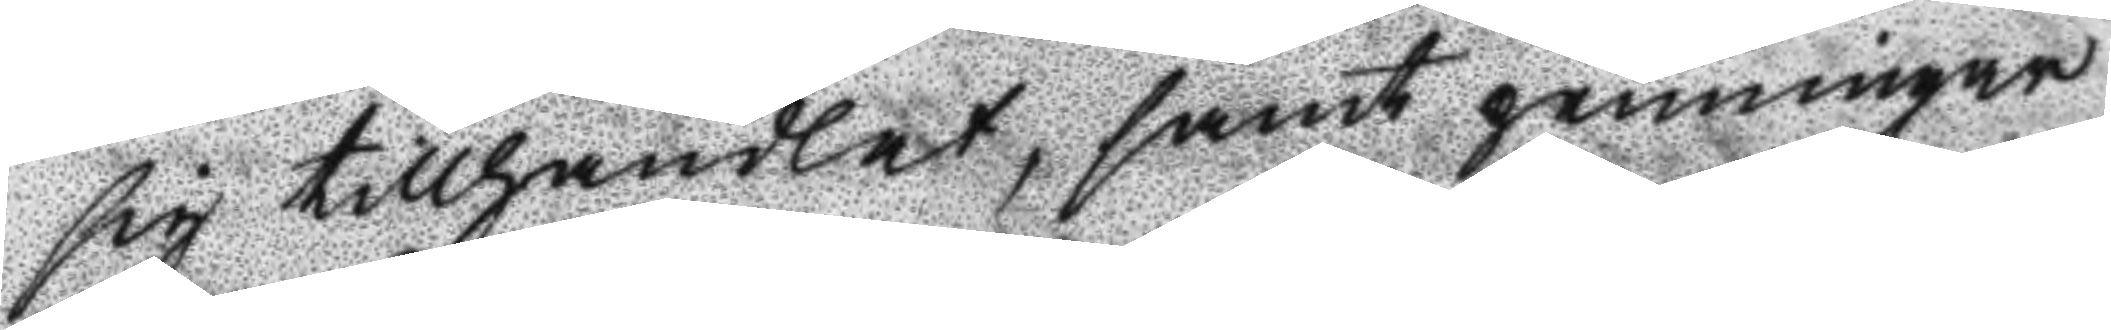sig tillhandlat, samt penningar
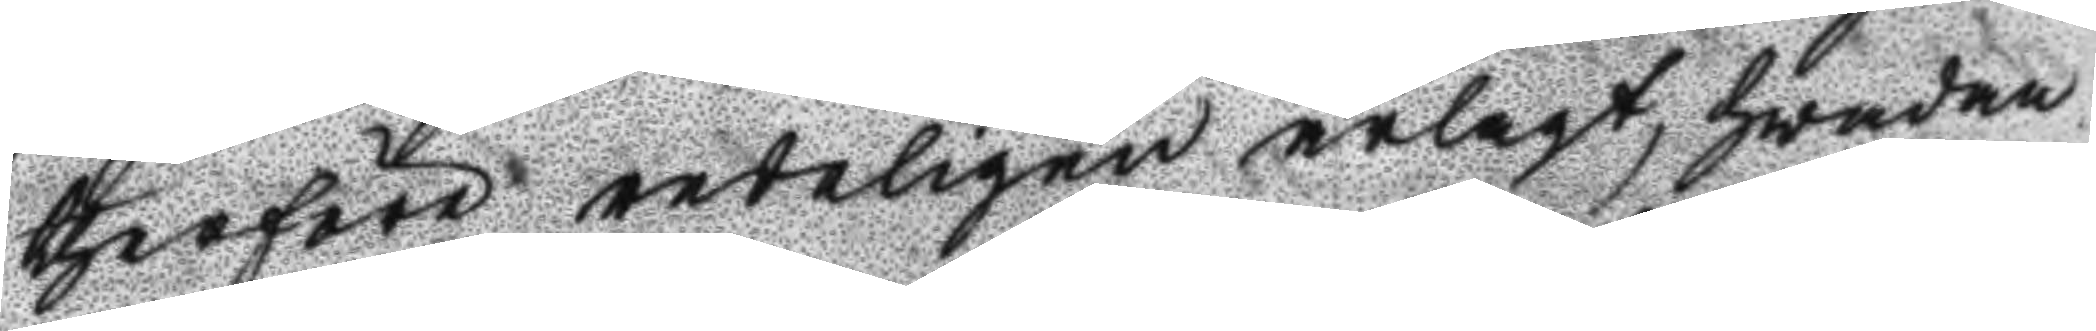therföre redeligen ärlagt, hwadan
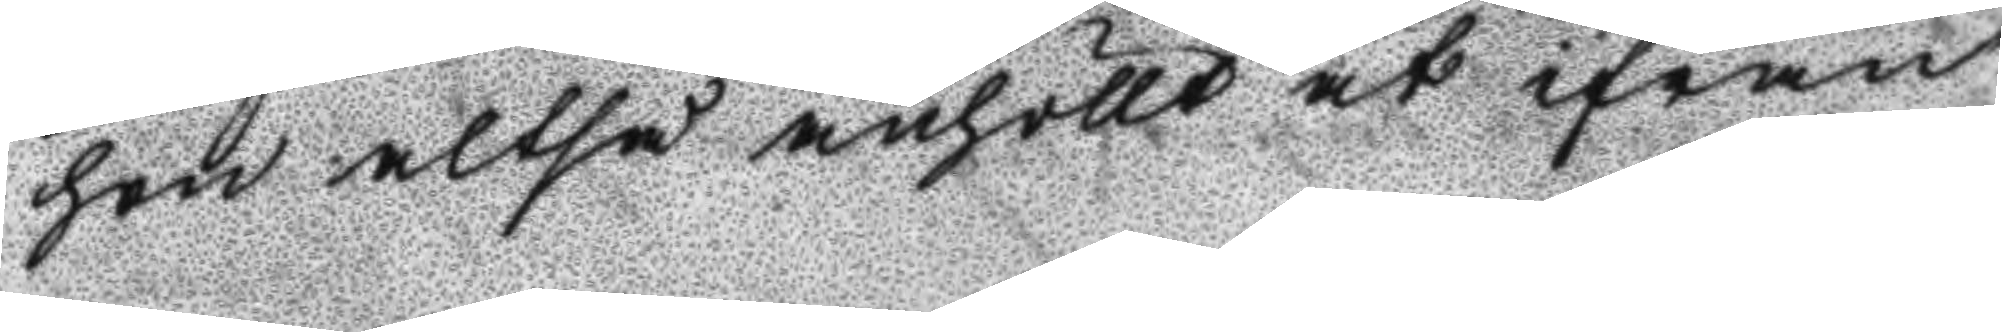hon altså anhöllt at ifrån
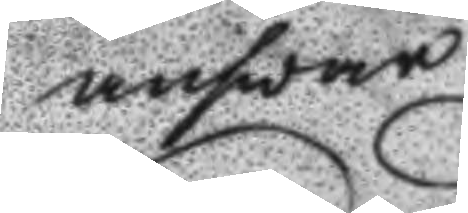answar
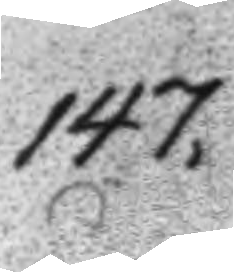147.
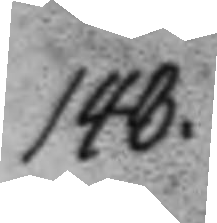148.
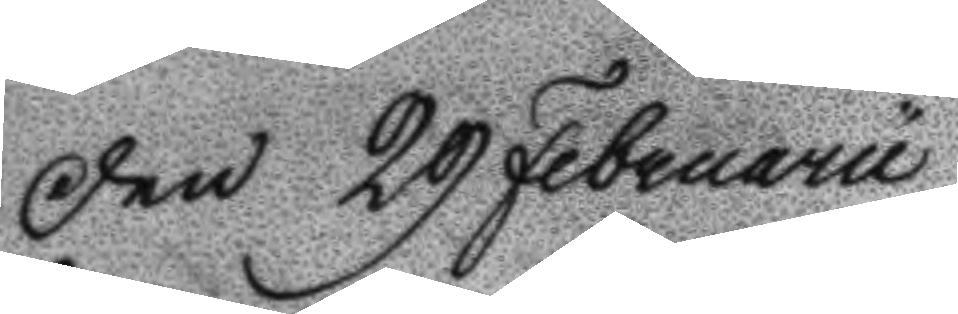Den 29 Februarii
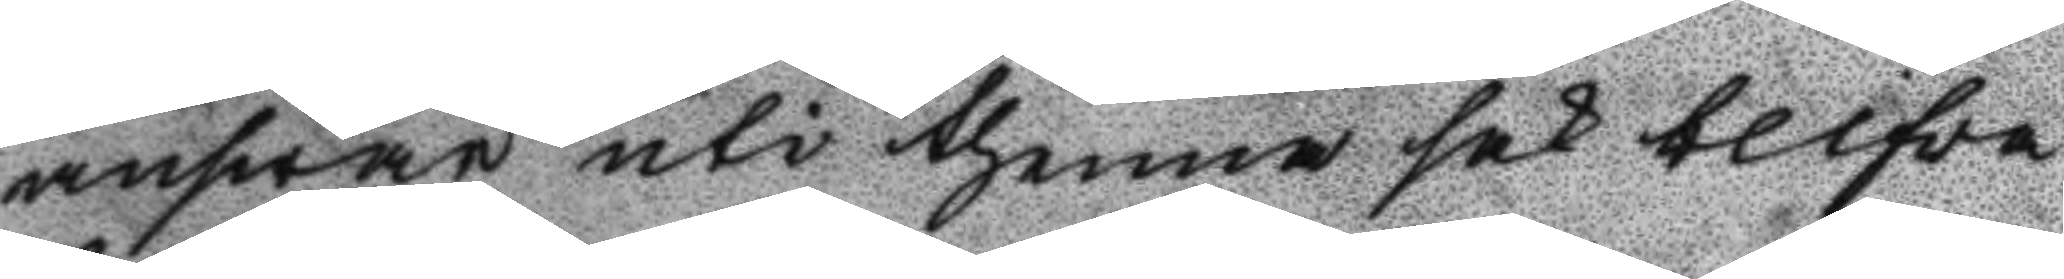answar uti thenna sak blifva
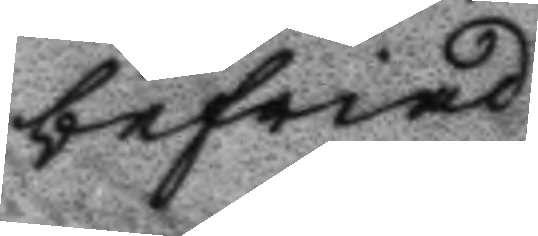befriad.
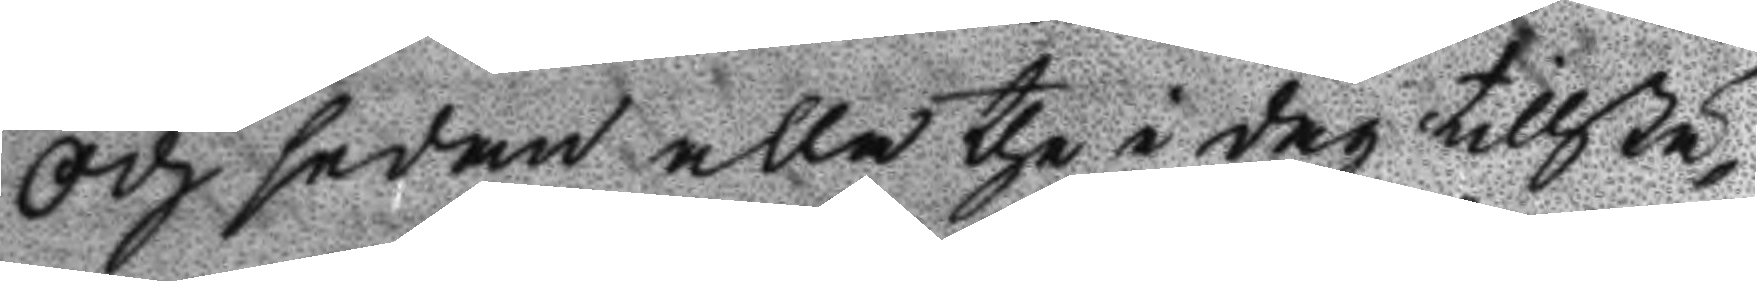Och sedan alla the i dag tillstä¬
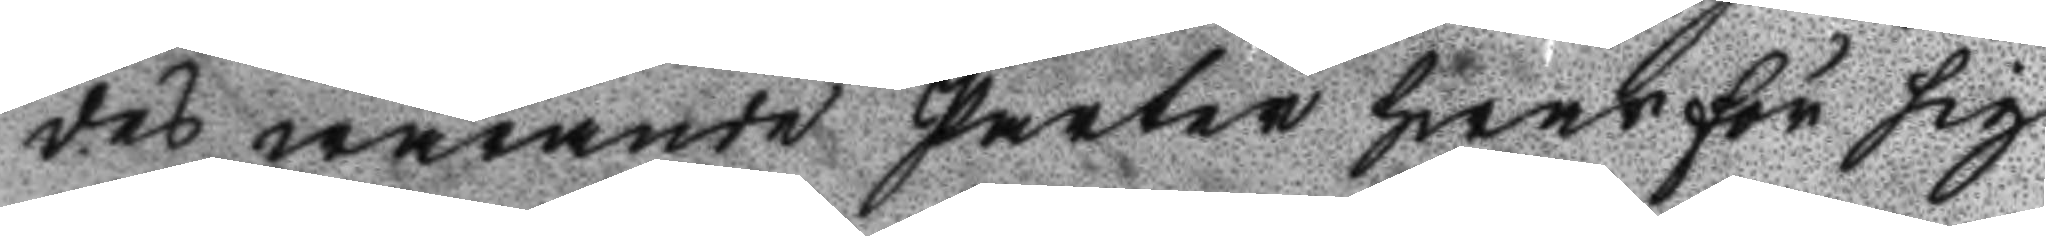des warande Parter hwarför sig
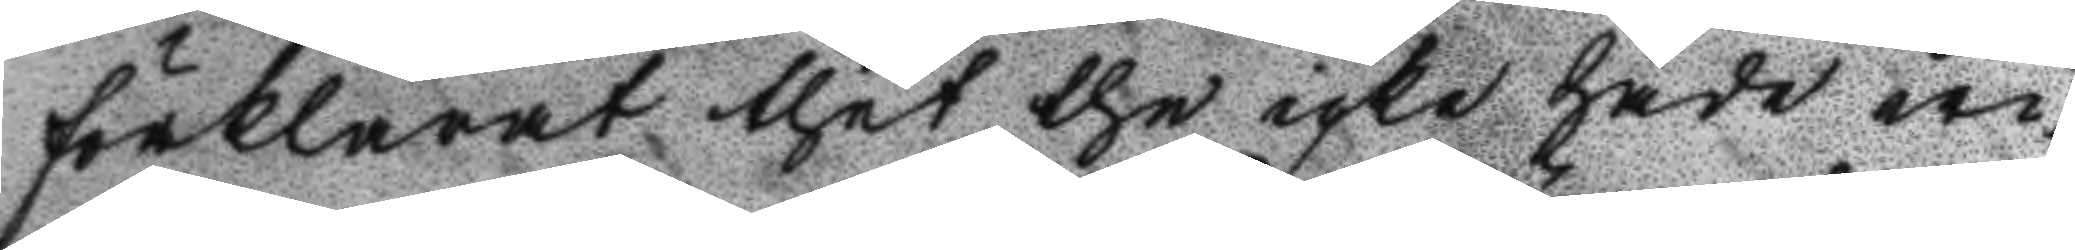förklarat thet the icke hade wi¬
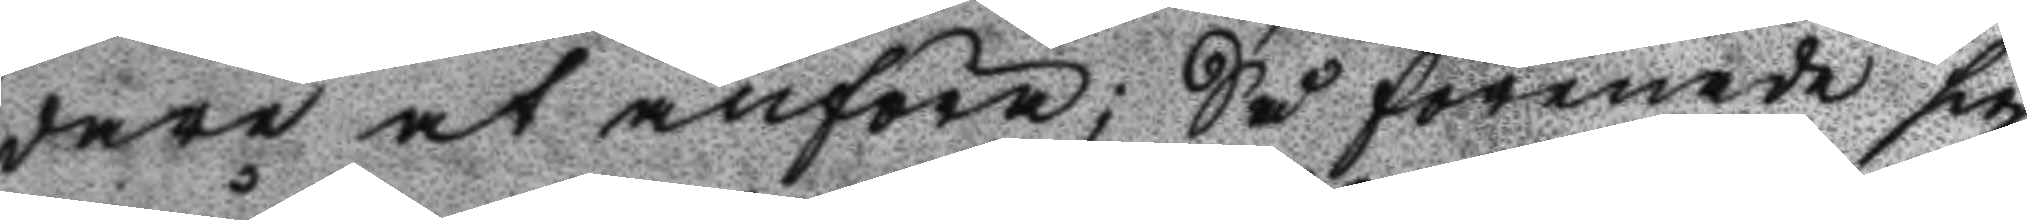dare at anföra; Så förenade sig
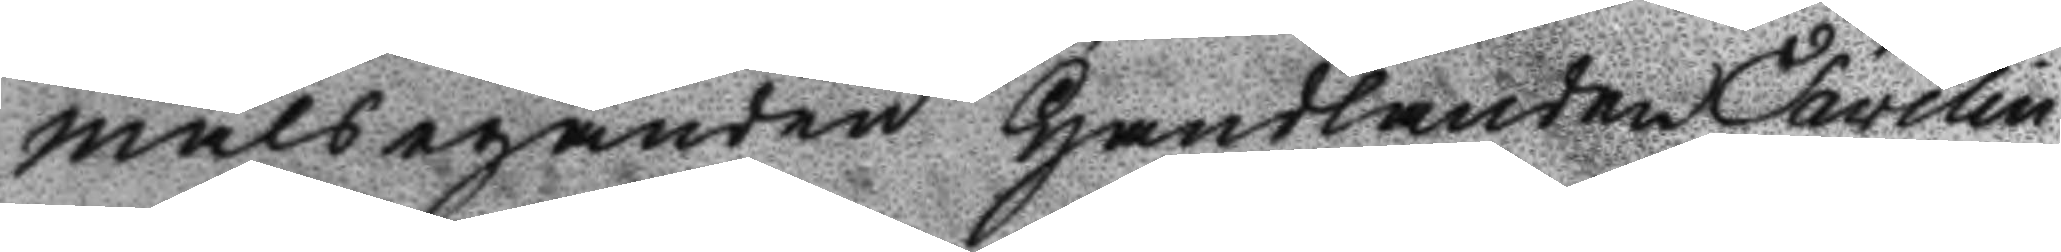målseganden Handlanden Cavelin
